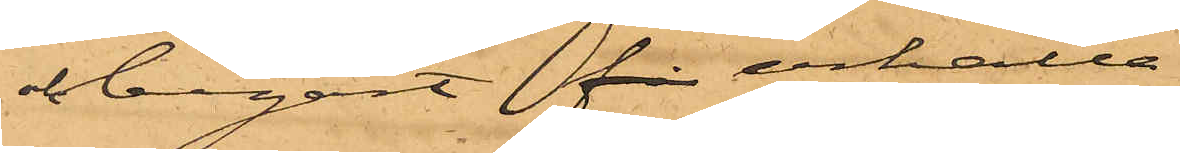och begärt få erhålla
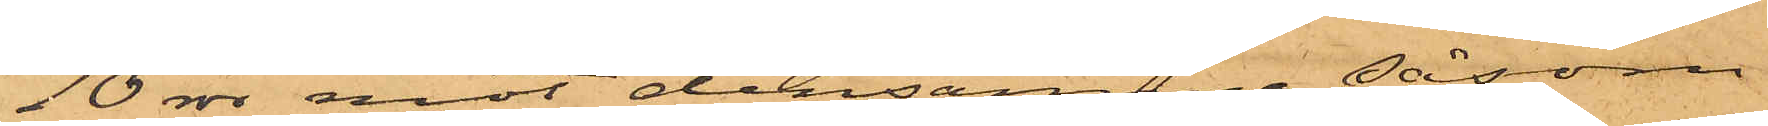10 rdr mot densamma såsom
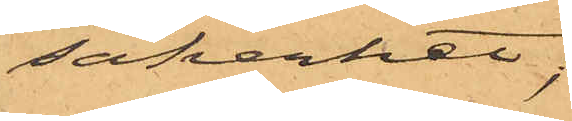säkerhet;
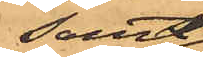samt
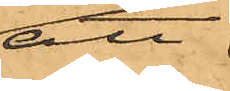att
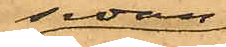sedan
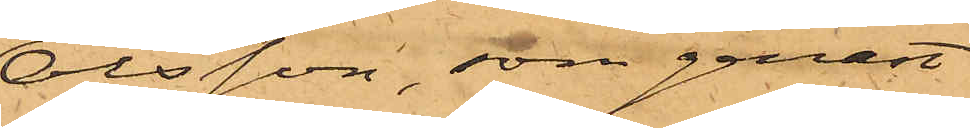Olsson, som genast
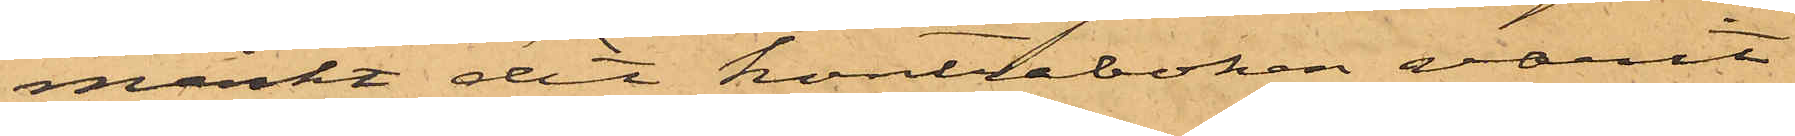märkt det kontraboken varit
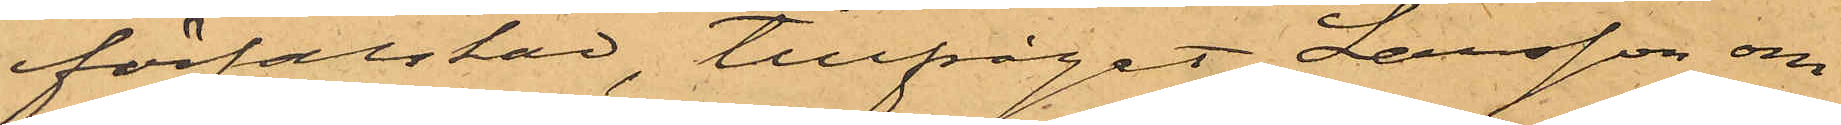förfalskad, tillfrågat Larsson om
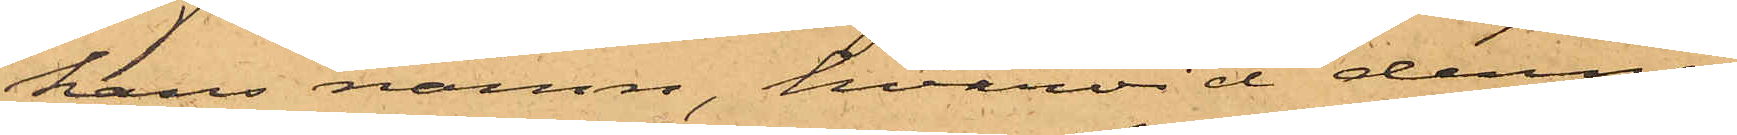hans namn, hvarvid denne
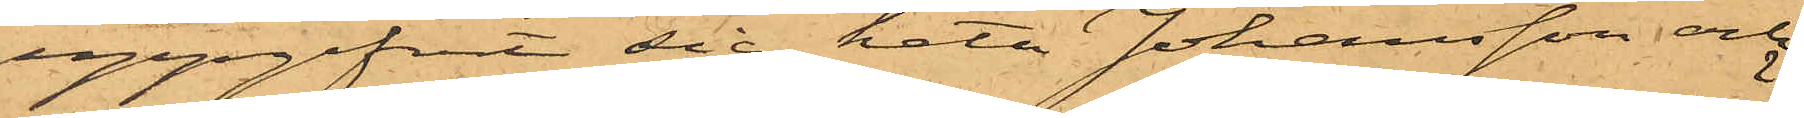uppgifvit sig heta Johansson och
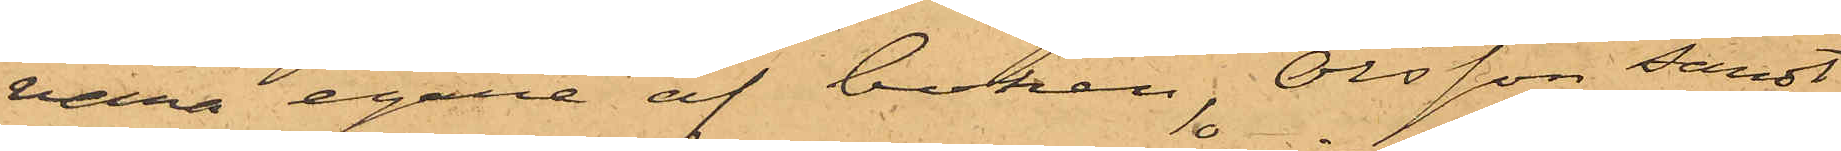vara egare af boken, Olsson sändt
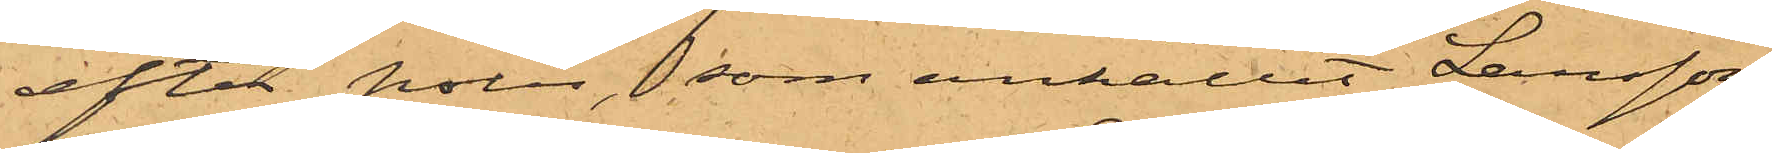efter polis, som anhållit Larsson.
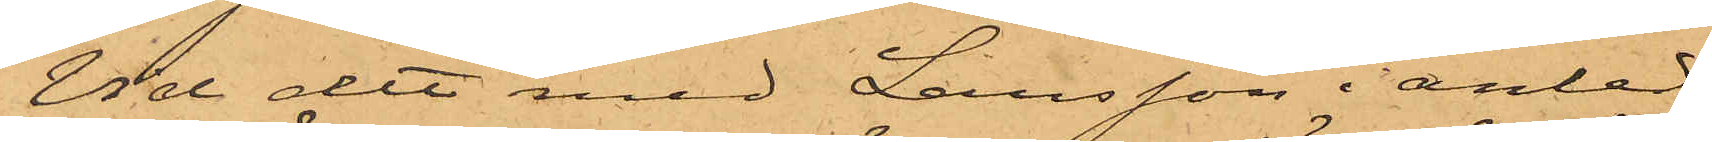Vid det med Larsson i anled¬
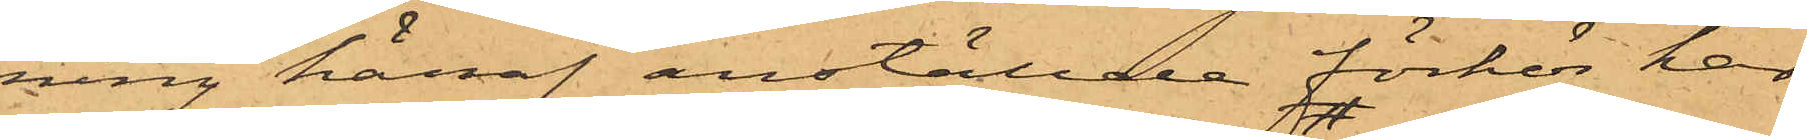ning häraf anställde förhör har
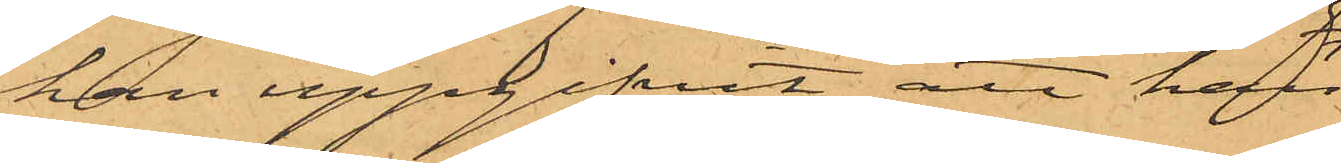han uppgifvit, att han
